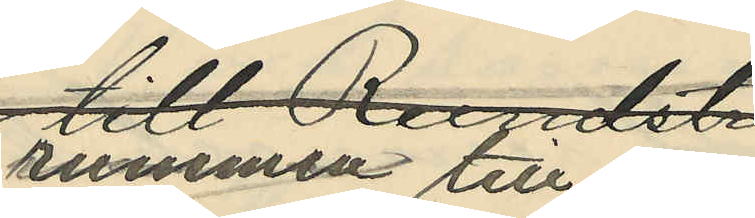rummen till fem
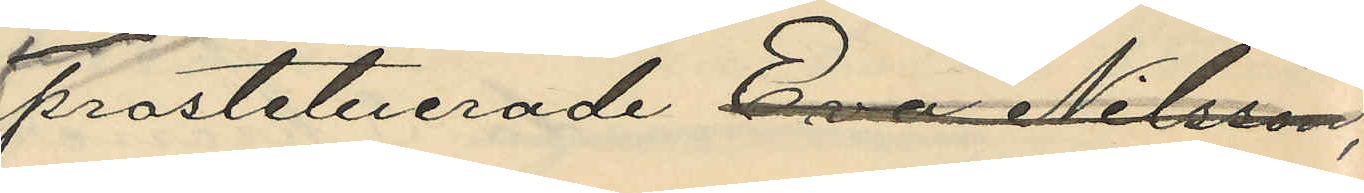prostituerade Eva Nilsson,
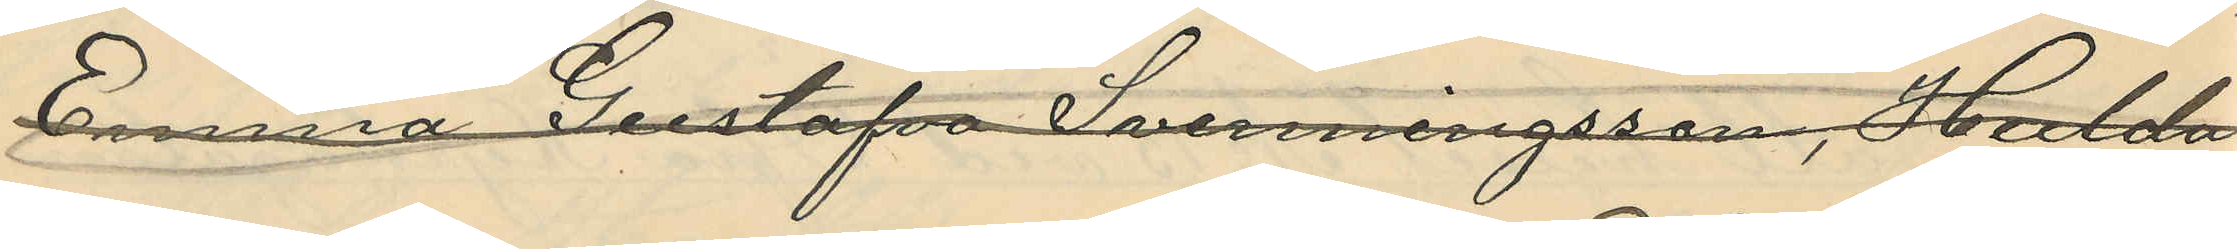Emma Gustafva Svenningsson, Hulda
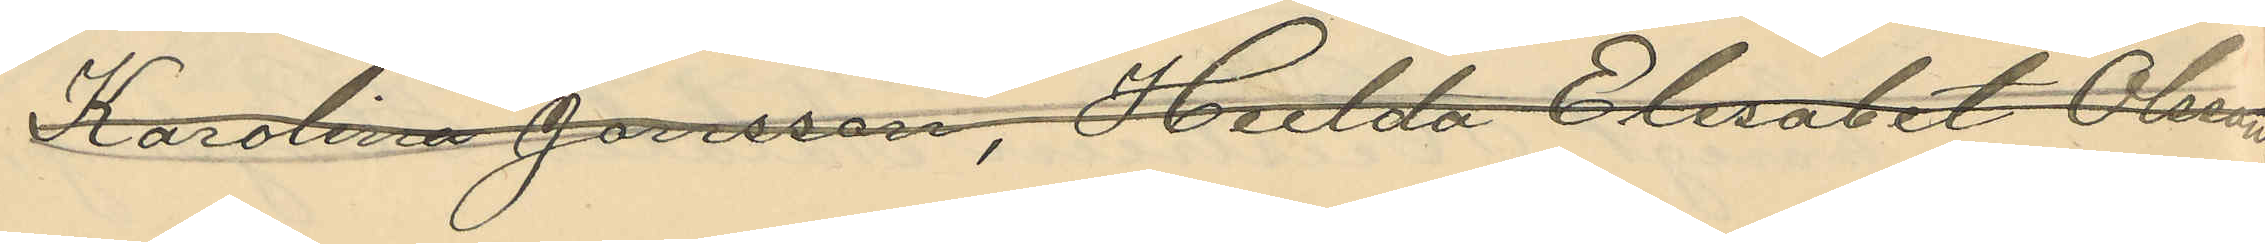Karolina Jonsson, Hulda Elisabet Olsson
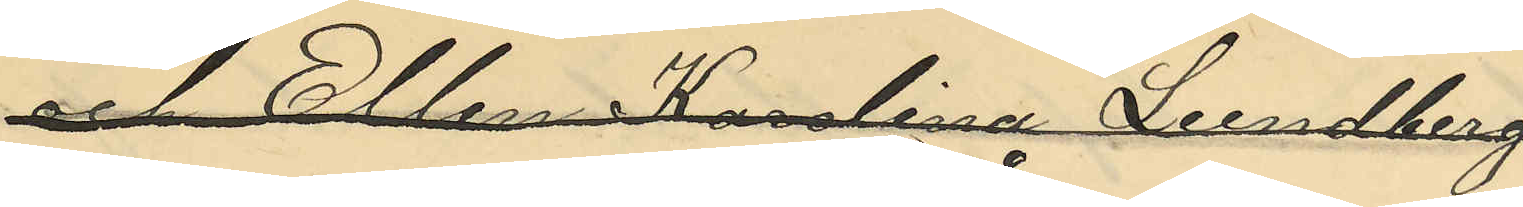och Ellen Karolina Lundberg
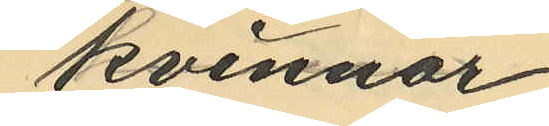kvinnor
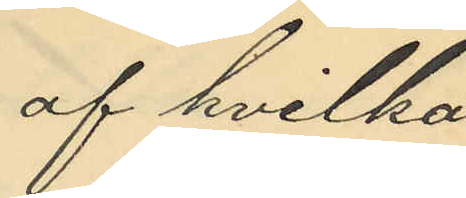af hvilka
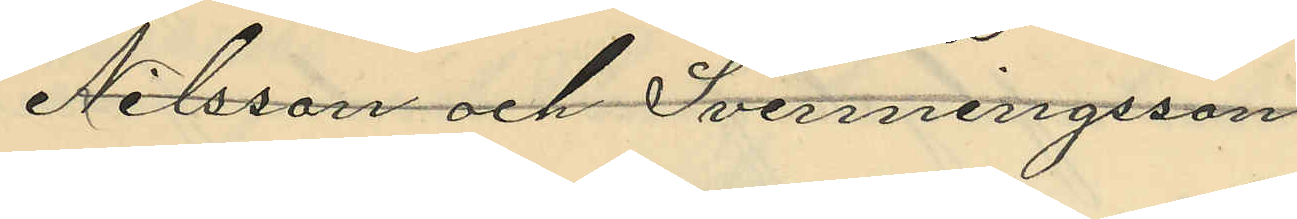Nilsson och Svenningson
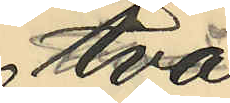två
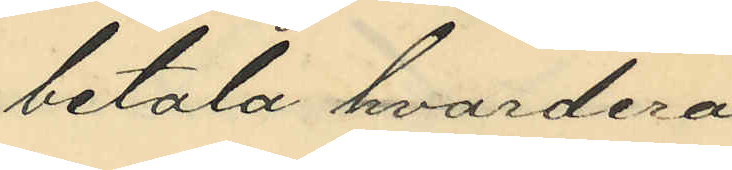betala hvardera
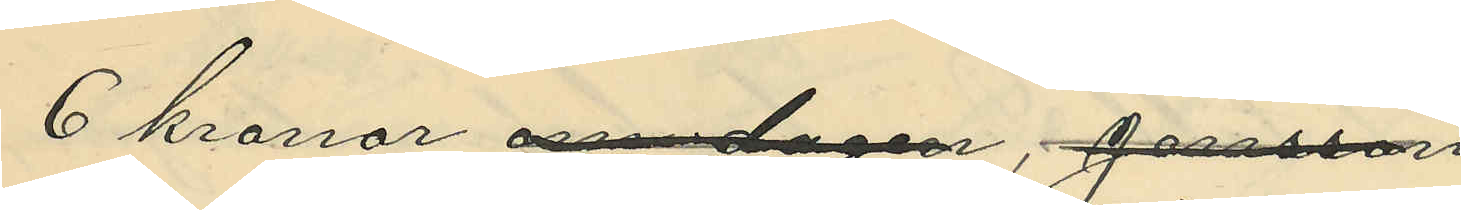6 kronor om dagen, Jonsson
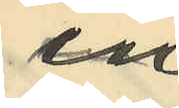en
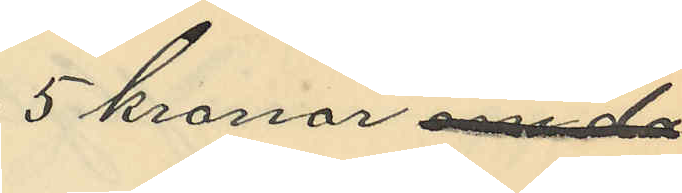5 kronor om dag¬
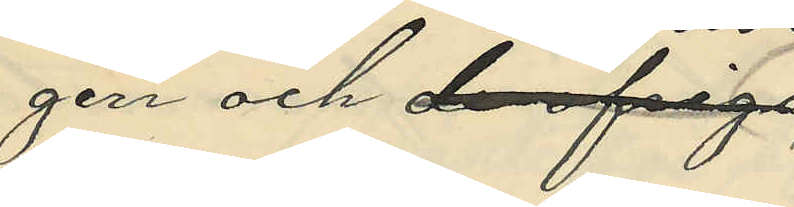gen och de öfvriga
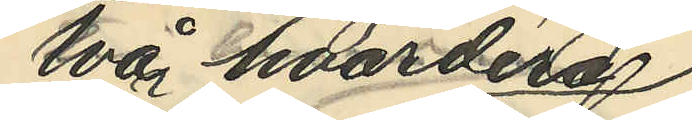två hvardera
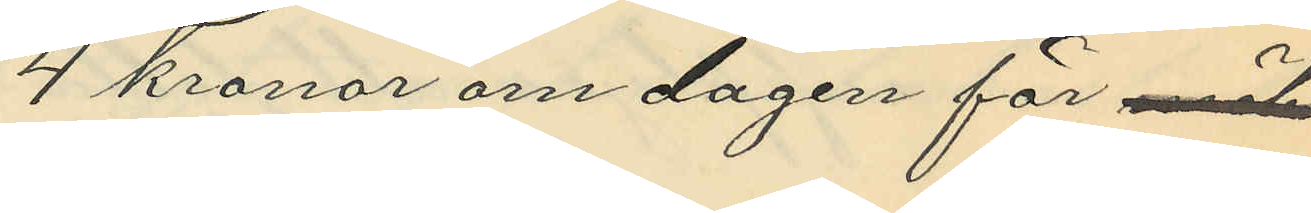4 kronor om dagen för möb¬
